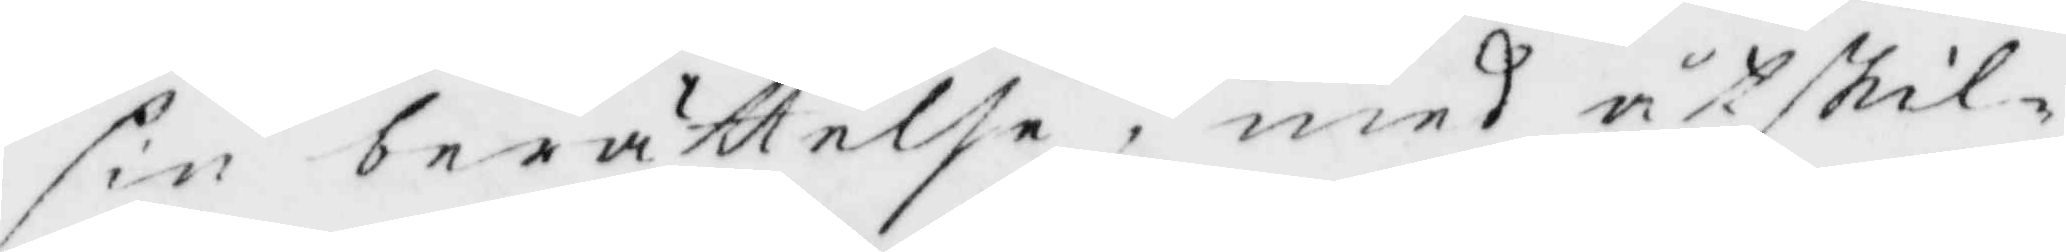sin berättelse, med åtskil¬
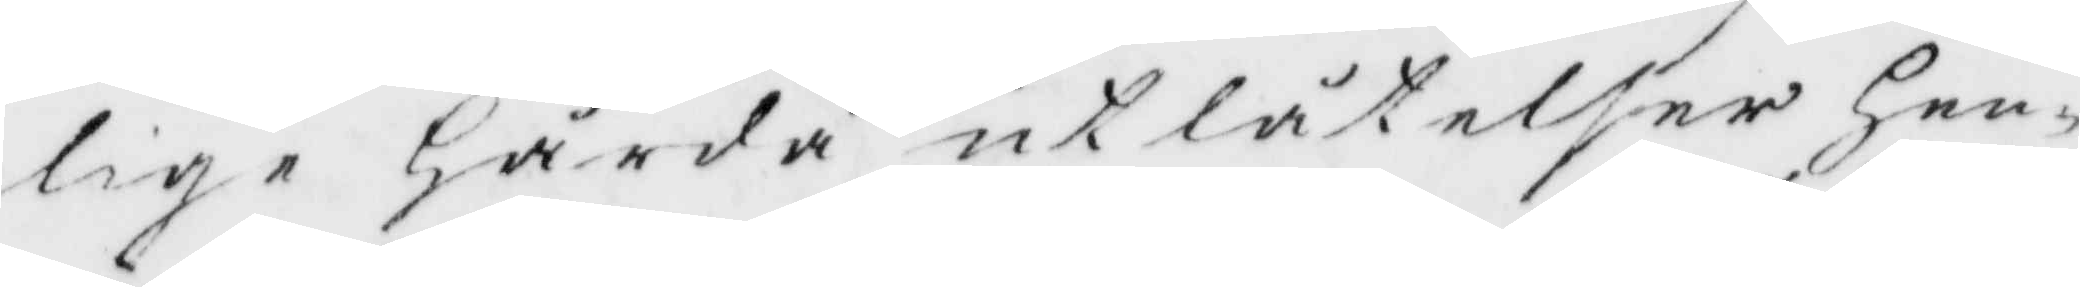lige Hårda utlåtelser Hen¬
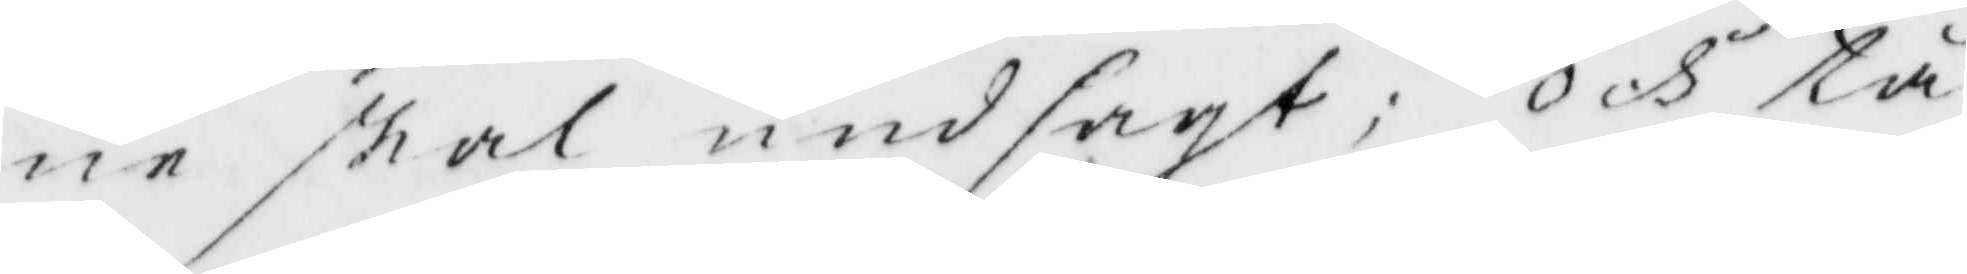ne skal undsagt; Och tå
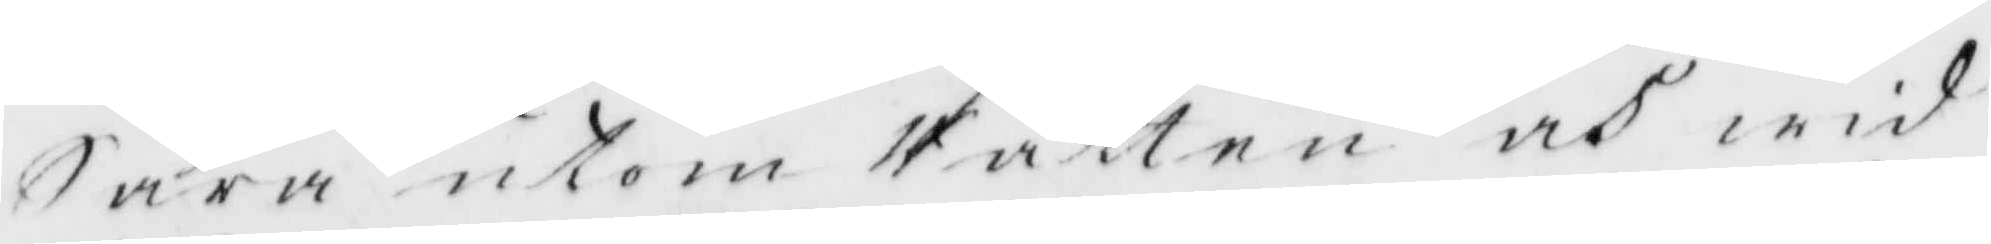Sara utkom Rätten och wid
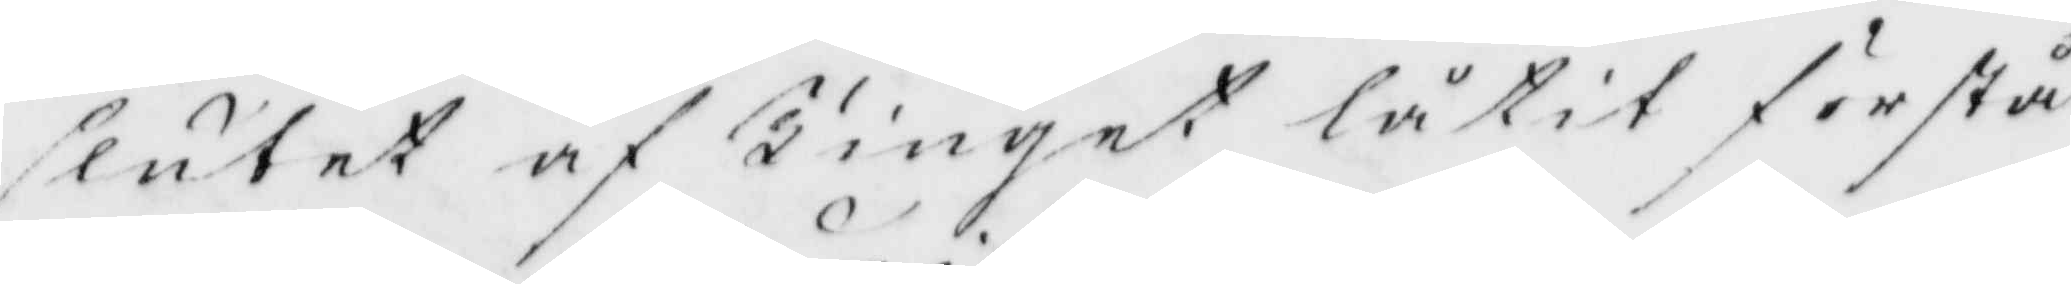slutet af Tinget låtit förstå
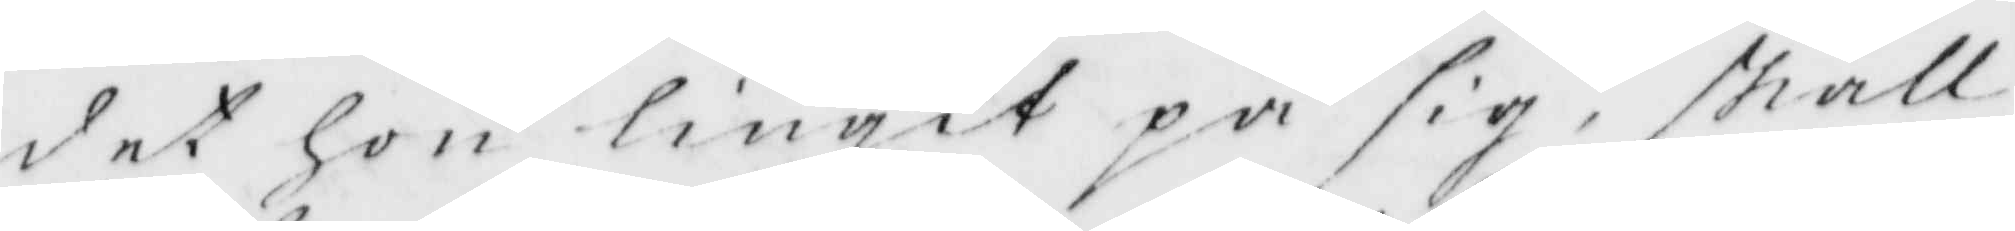det hon liugit på sig, skall
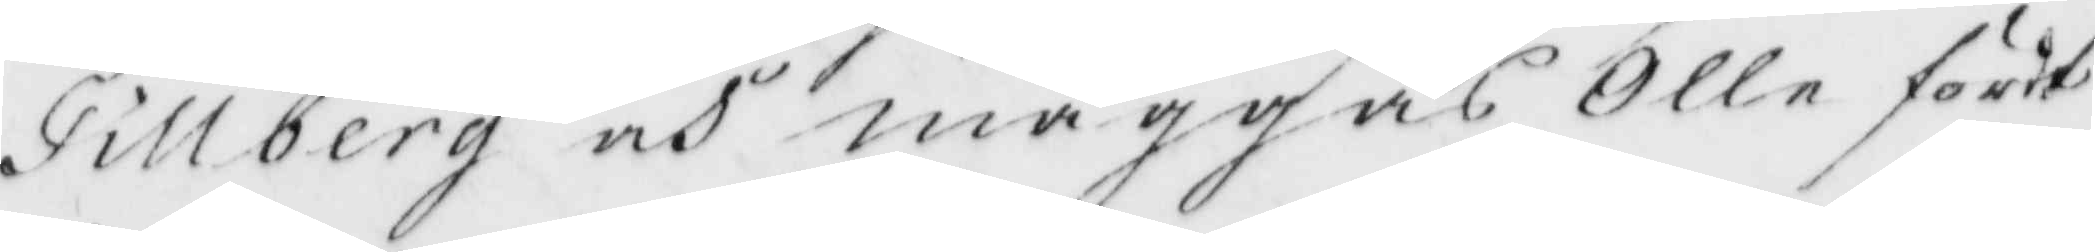Tillberg och maggas Olle fördt
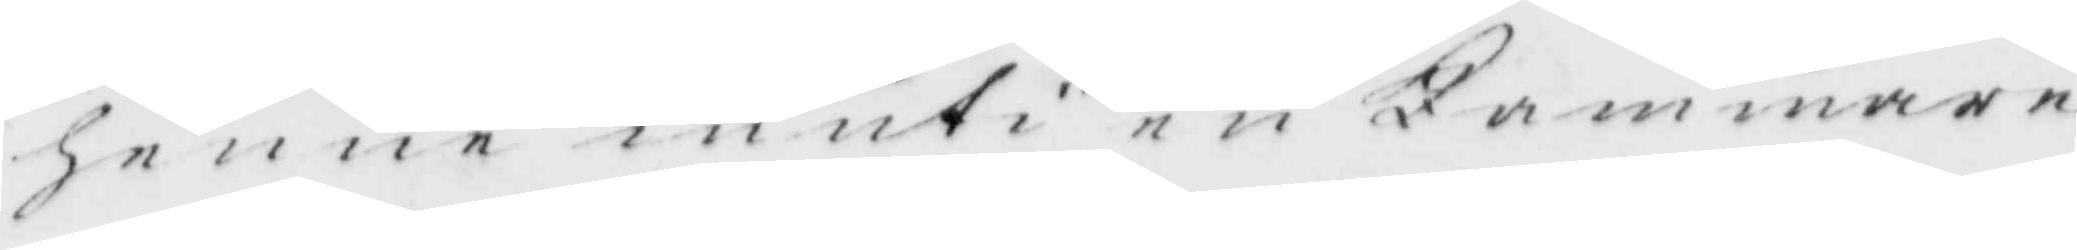henne in uti en Kammare
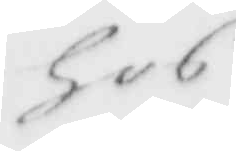hos
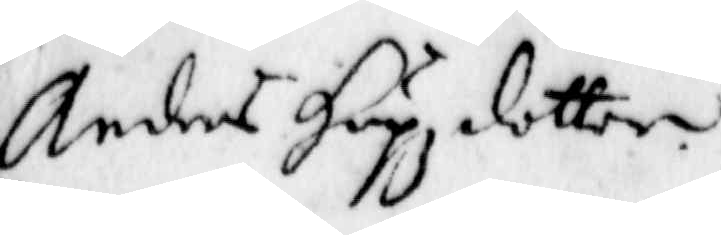Anders Hupz dotter.
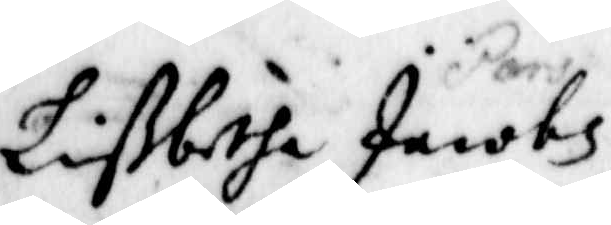Lißbetha Jacobs
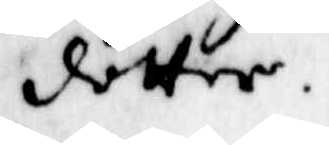dotter
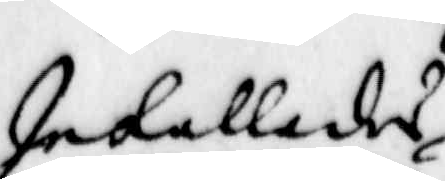Inkallades
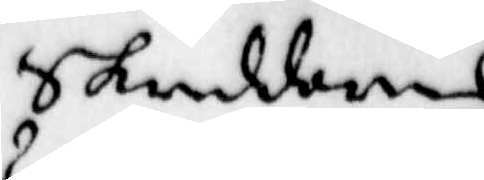Skreddarens
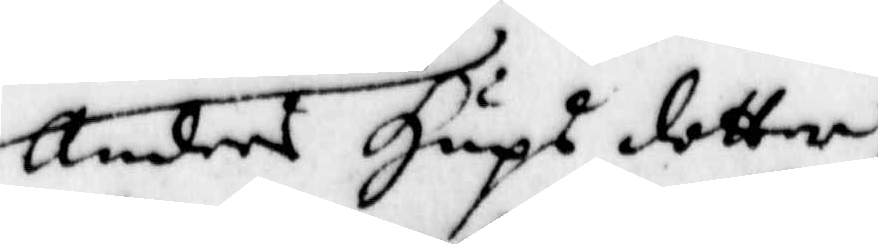Anders Hups dotter
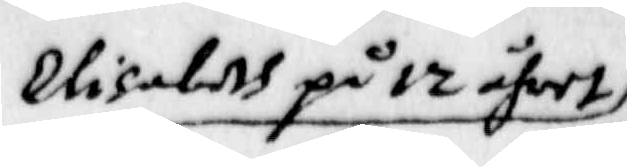Elisabeth på 12 åhret
